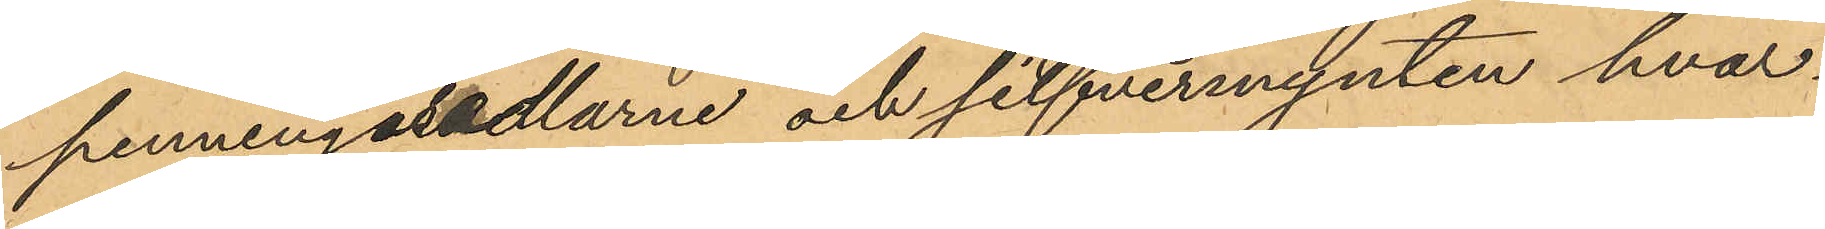penningasedlarne och silfvermynten hvar¬
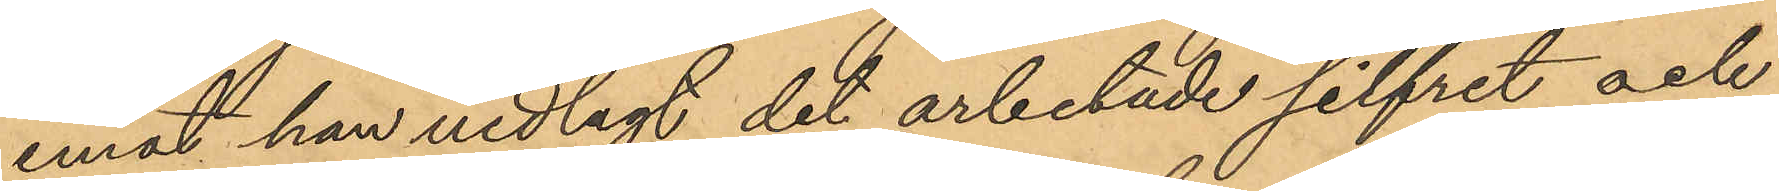emot han nedlagt det arbetade silfret och
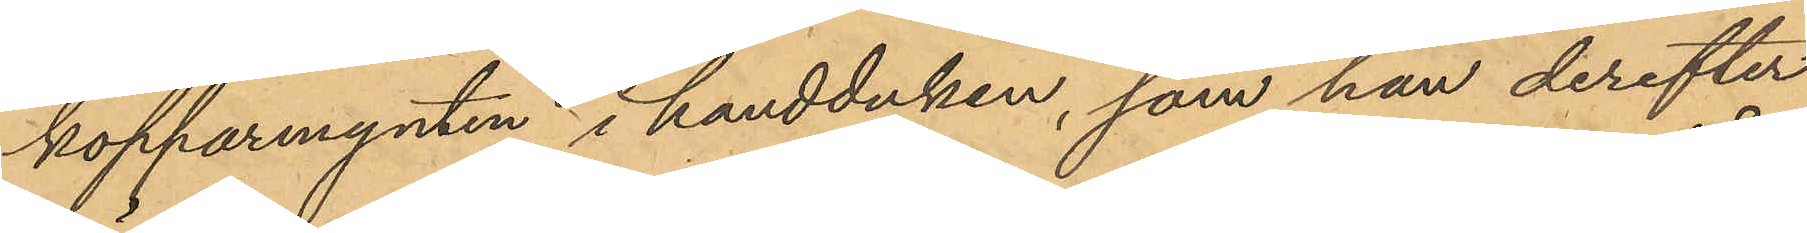kopparmynten i handduken, som han derefter
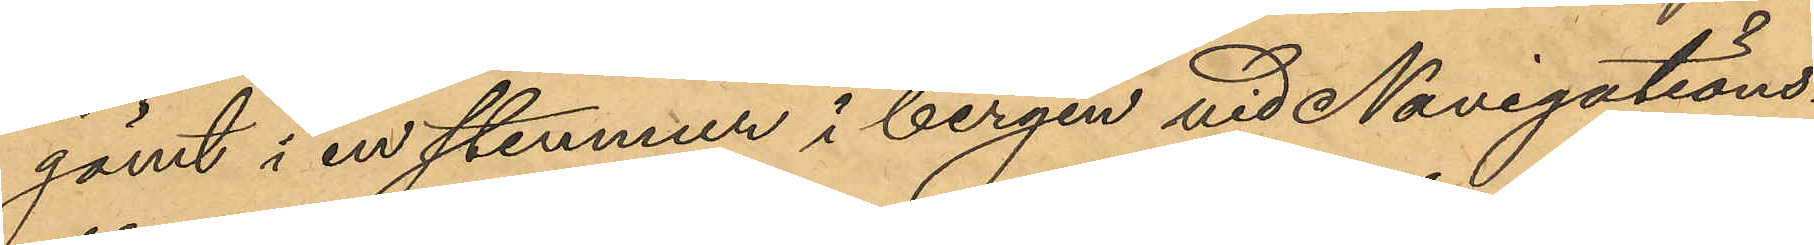gömt i en stenmur i bergen vid Navigations¬
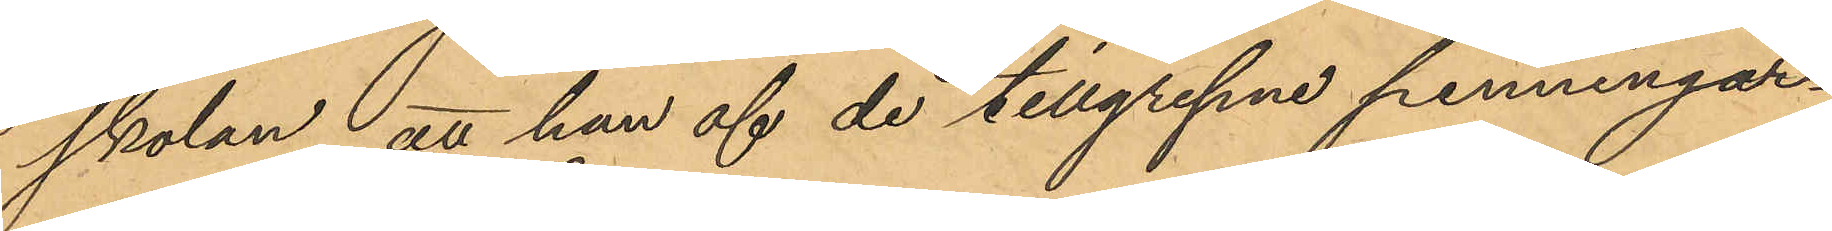skolan, att han af de tillgripne penningar¬
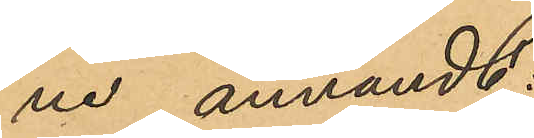ne användt:
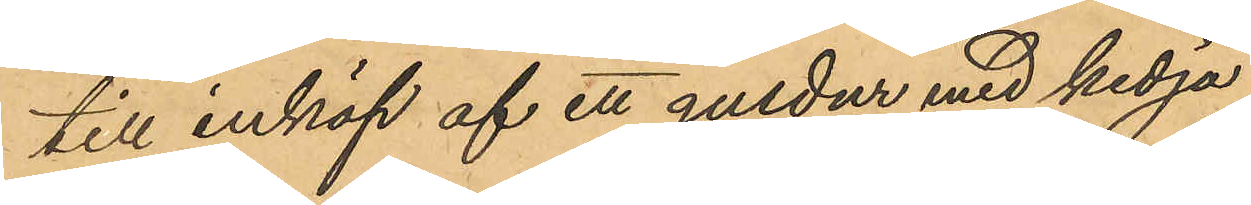till inköp af ett guldur med kedja
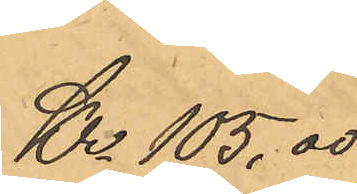Kr. 105,00
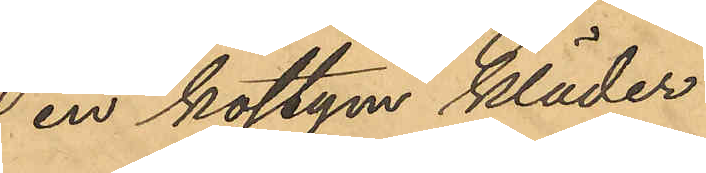 en kostym kläder
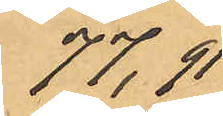77,91
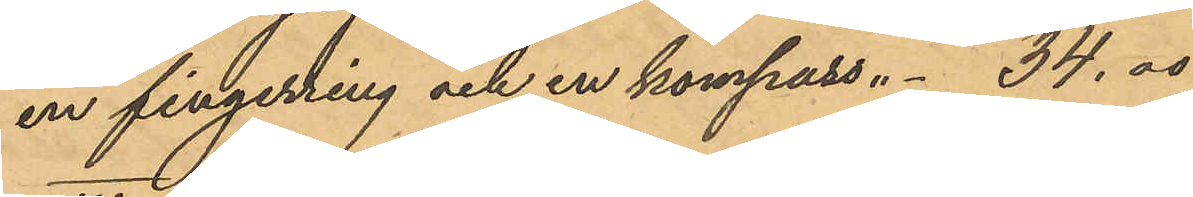en fingerring och en kompass " - 34.00
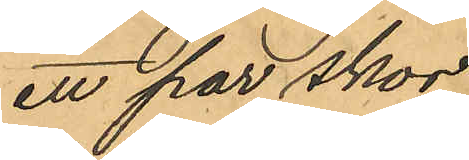ett par skor
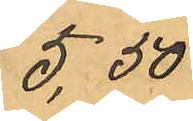5,50
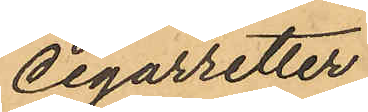cigarretter
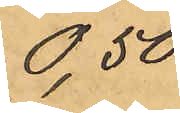0,50
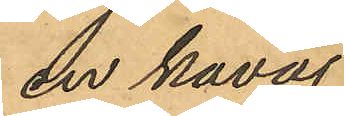en kavaj
